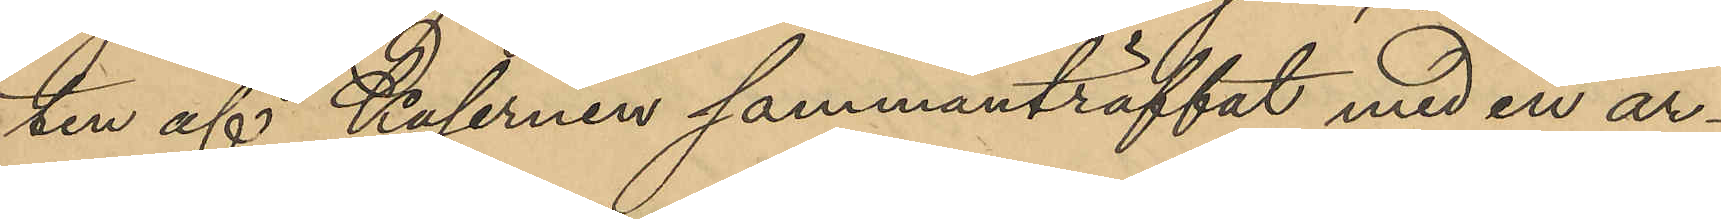ten af Kasernen sammanträffat med en ar¬
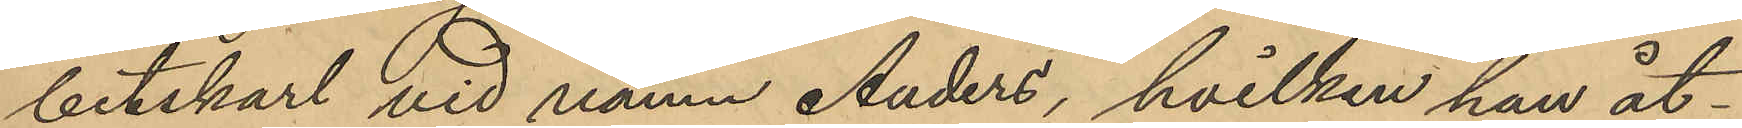betskarl vid namn Anders, hvilken han åt¬
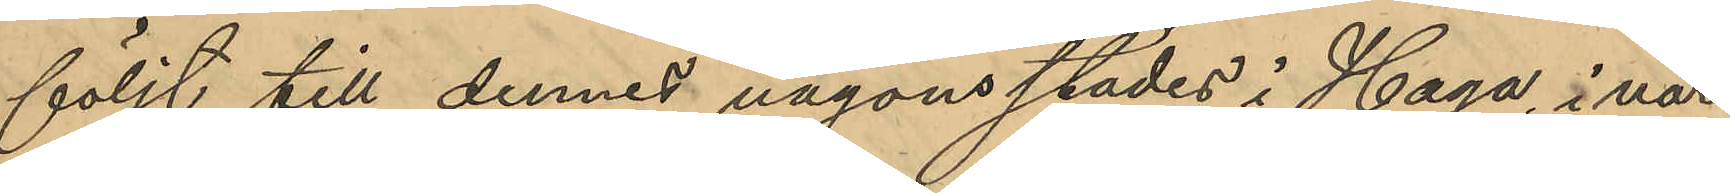följt till dennes någonsstädes i Haga, i när¬
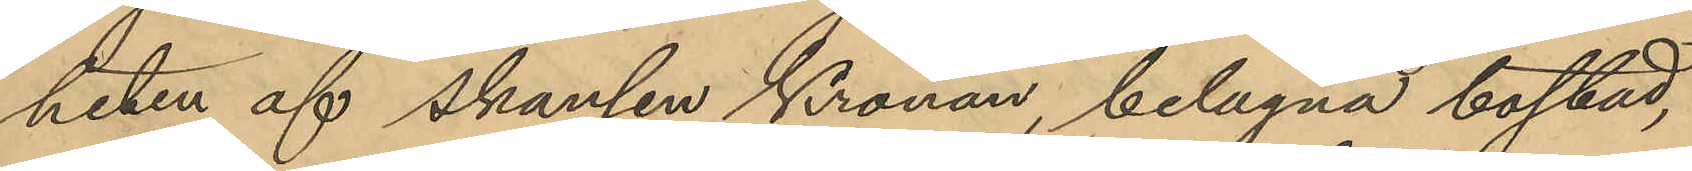heten af skansen Kronan, belägna bostad,
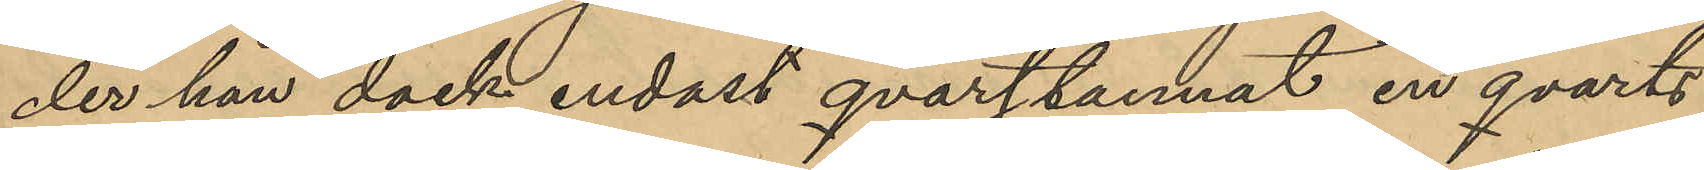der han dock endast qvarttannat en qvarts
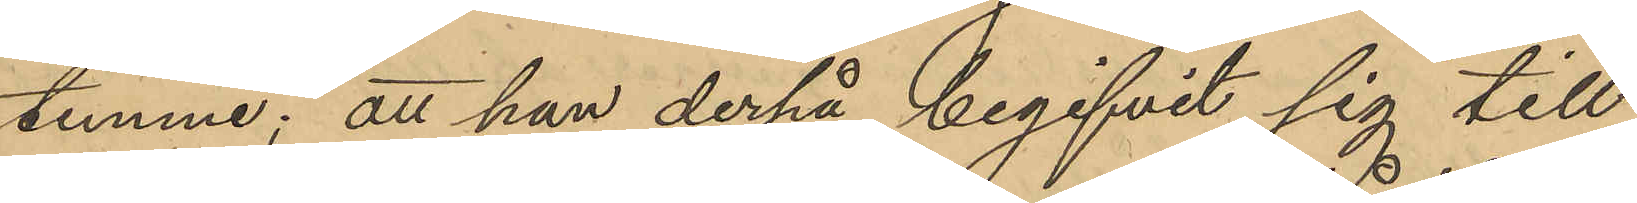timme; att han derpå begifvit sig till
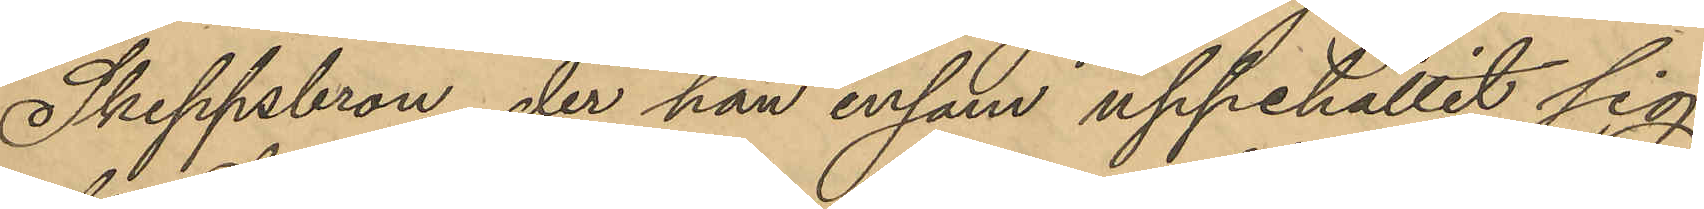Skeppsbron, der han ensam uppehållit sig
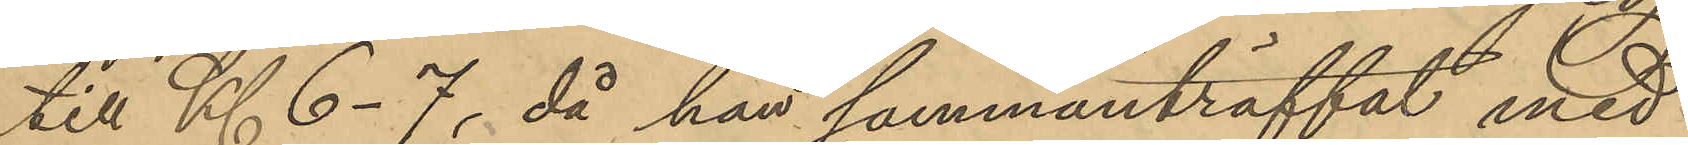till Kl. 6-7, då han sammanträffat med
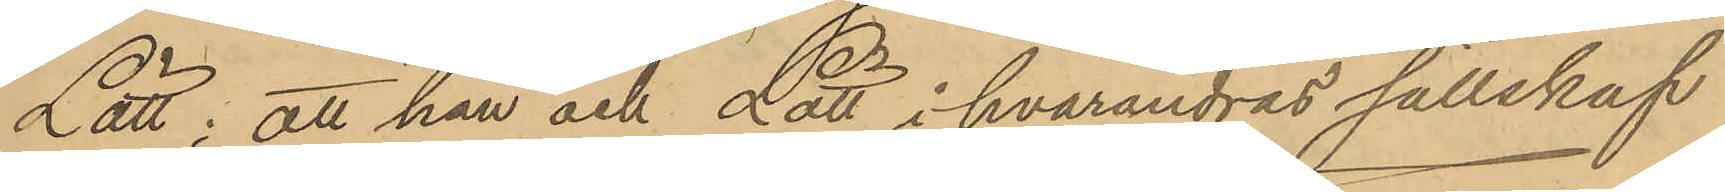Lätt; att han och Lätt i hvarandras sällskap
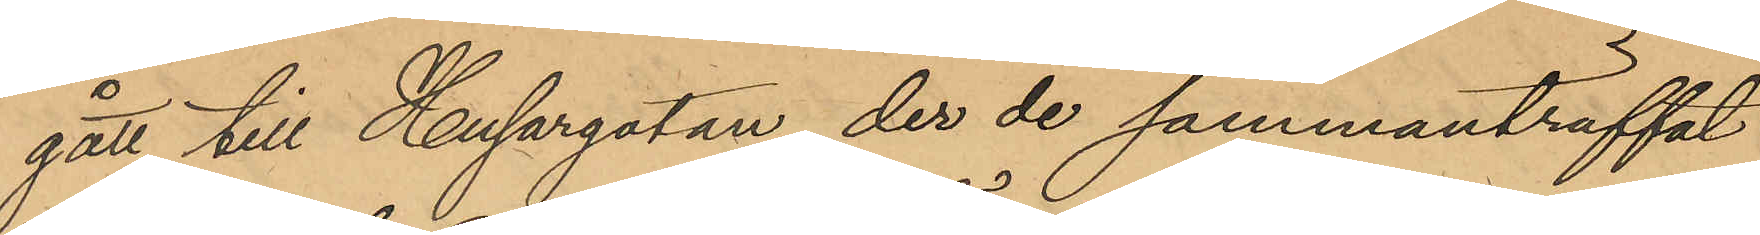gått till Husargatan, der de sammanträffat
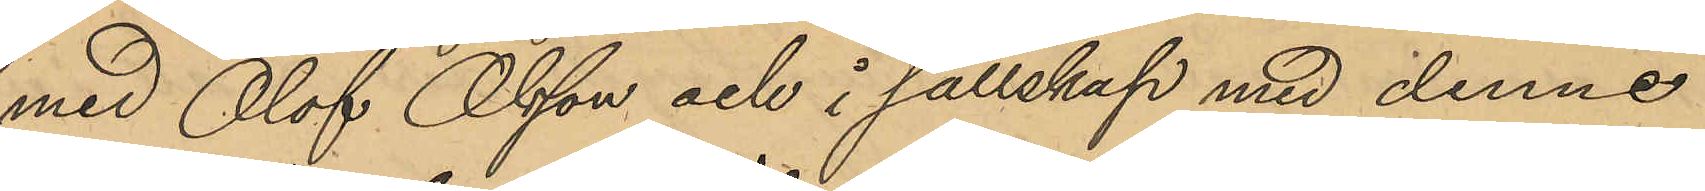med Olof Olsson och i sällskap med denne
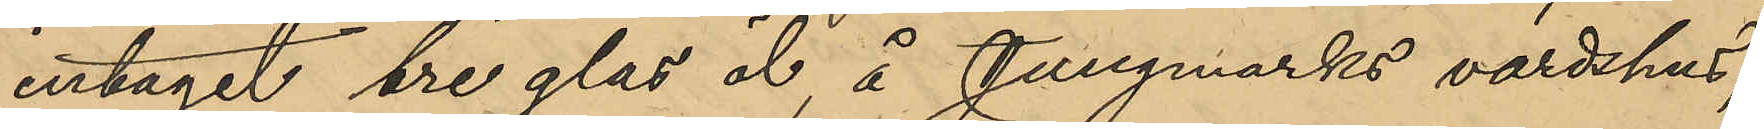intagit tre glas öl, å Jungmarks värdshus;
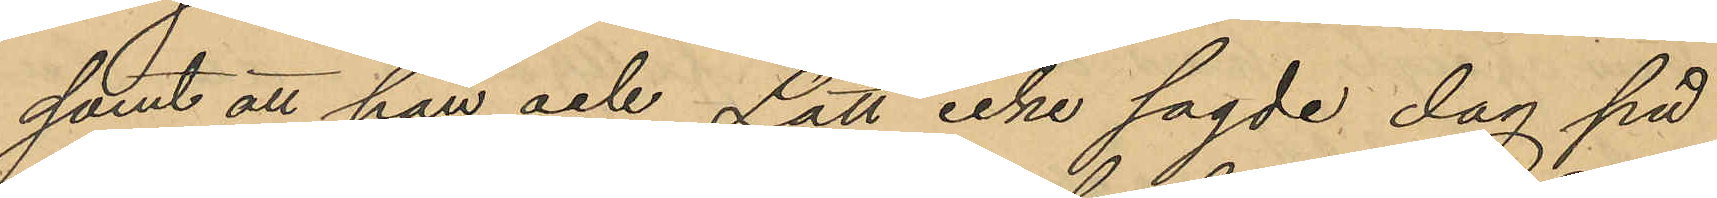samt att han och Lätt icke sagde dag på
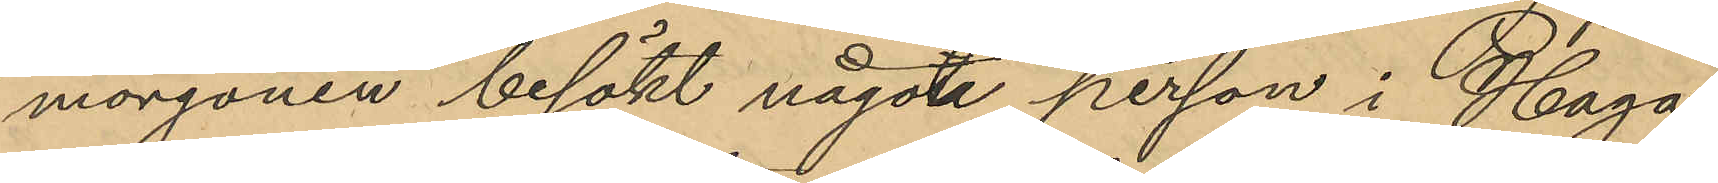morgonen besökt något person i Haga
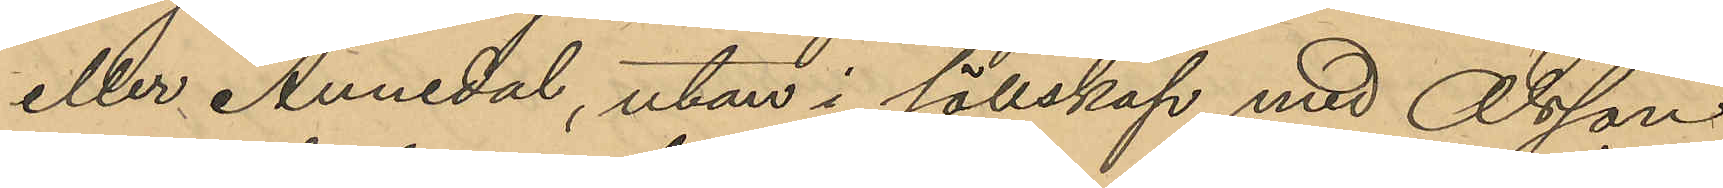eller Annedal, utan i sällskap med Olsson
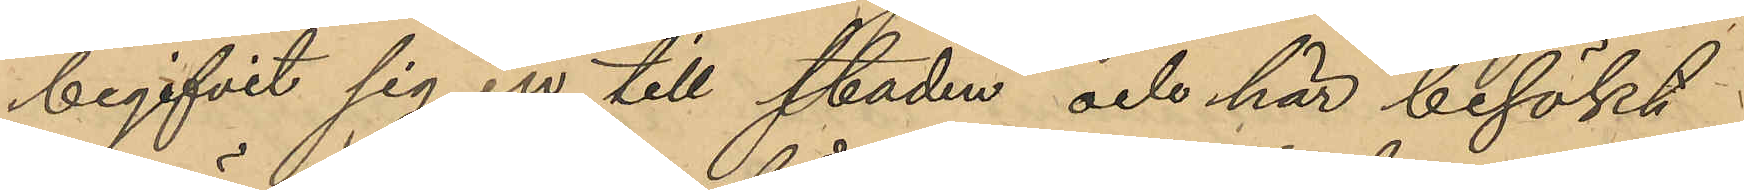begifvit sig in till staden och här besökt
